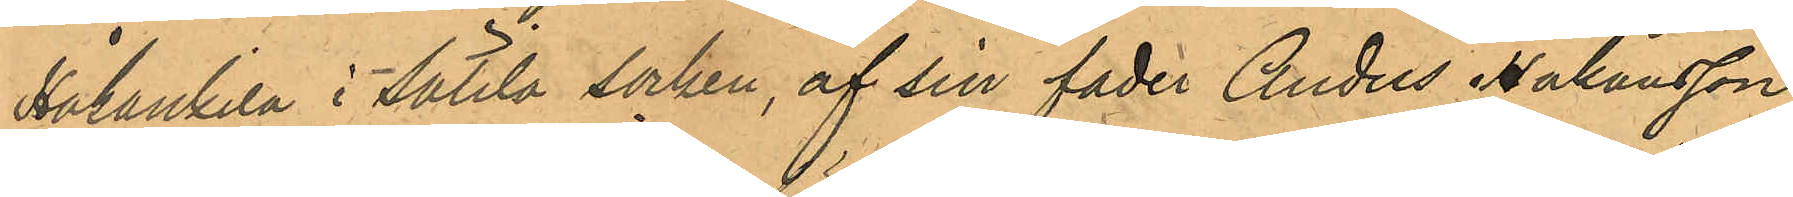Håkankila i Sätila socken, af sin fader Anders Håkansson
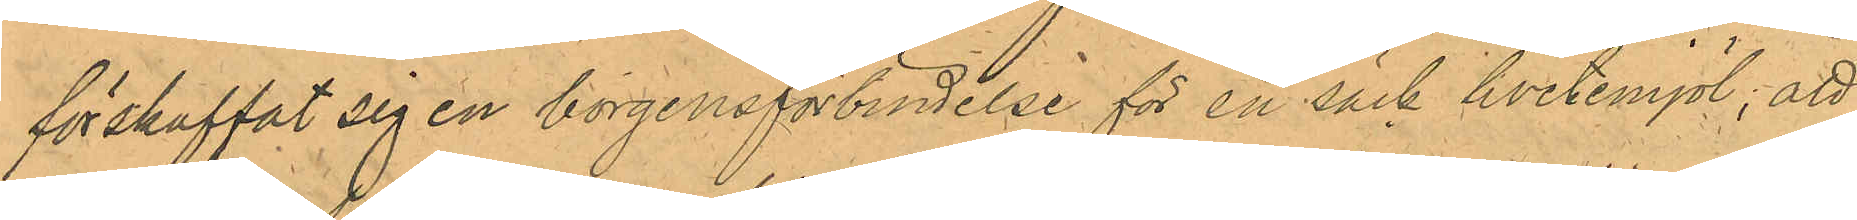förskaffat sig en borgensförbindelse för en säck hvetemjöl; att
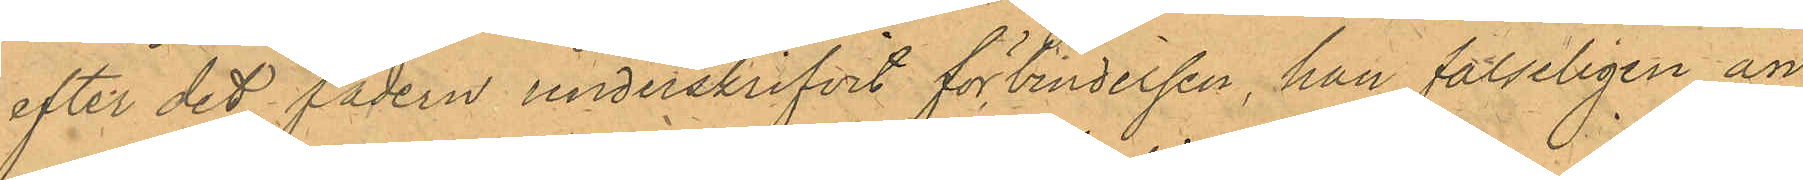efter det fadern underskrifvit förbindelsen, han falseligen än¬
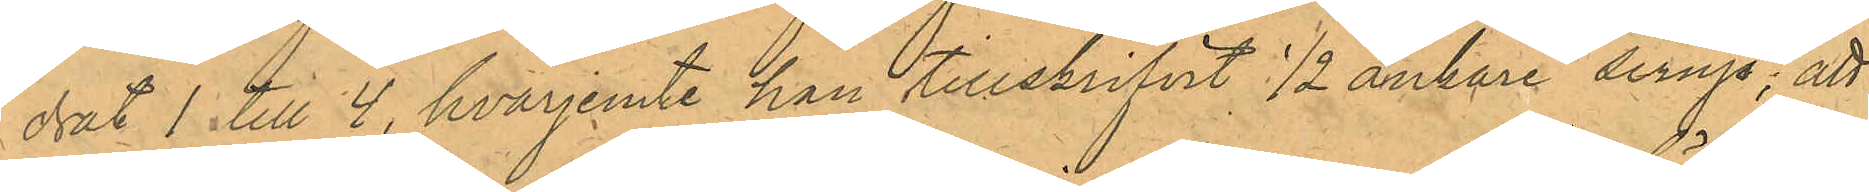drat 1 till 4, hvarjemte han tillskrifvit 1/2 ankare sirup; att
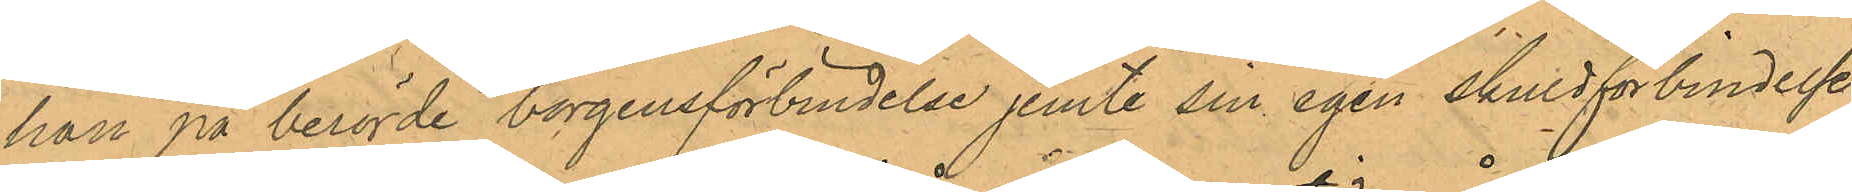han på berörde borgensförbindelse jemte sin egen skuldförbindelse
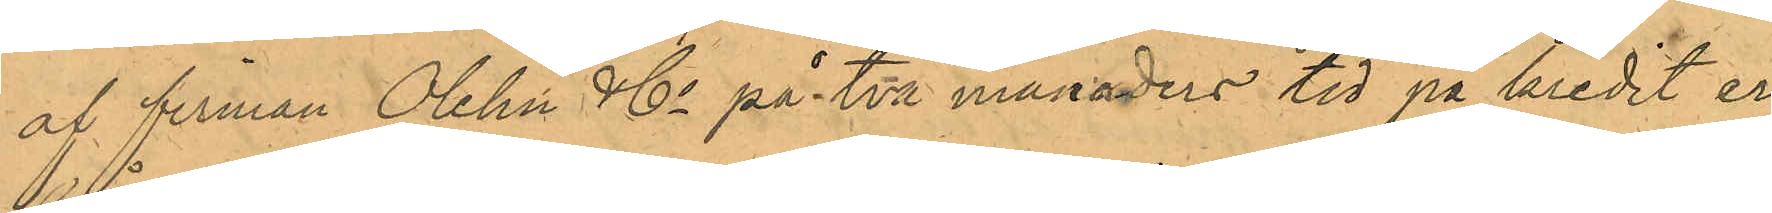af firman Olehn & Co på två månaders tid på kredit er¬
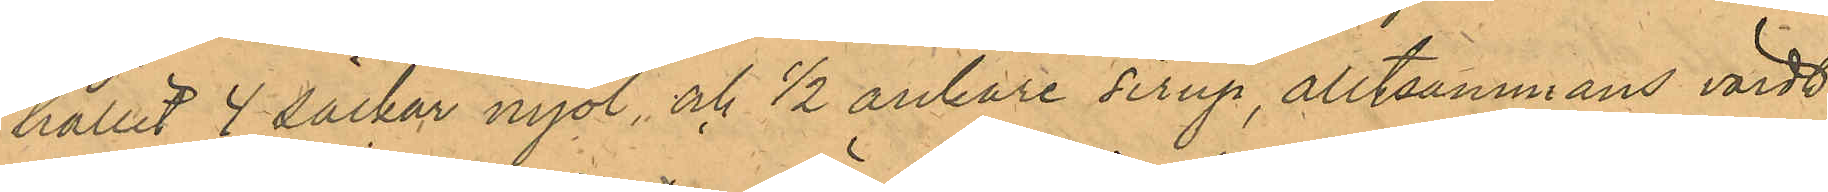hållit 4 säckar mjöl, och 1/2 ankare sirup, alltsammans värdt
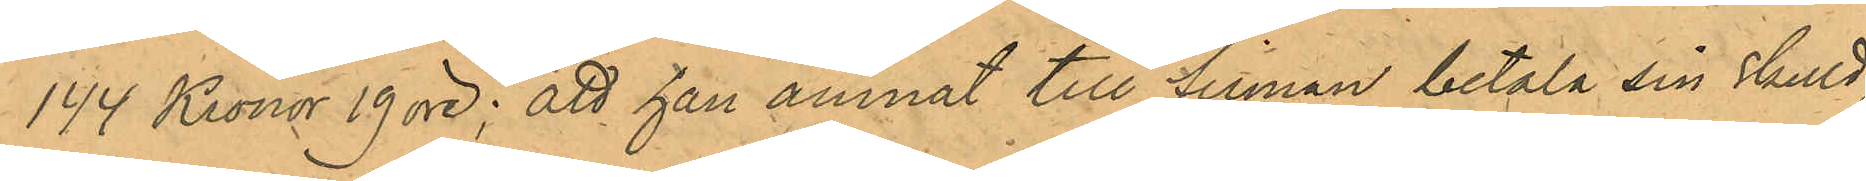144 Kronor 19 öre; att han ämnat till firman betala sin skuld,
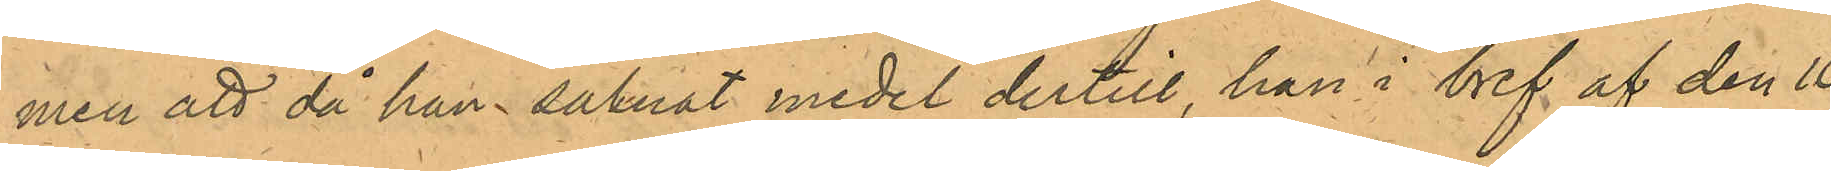men att då han saknat medel dertill, han i bref af den 10
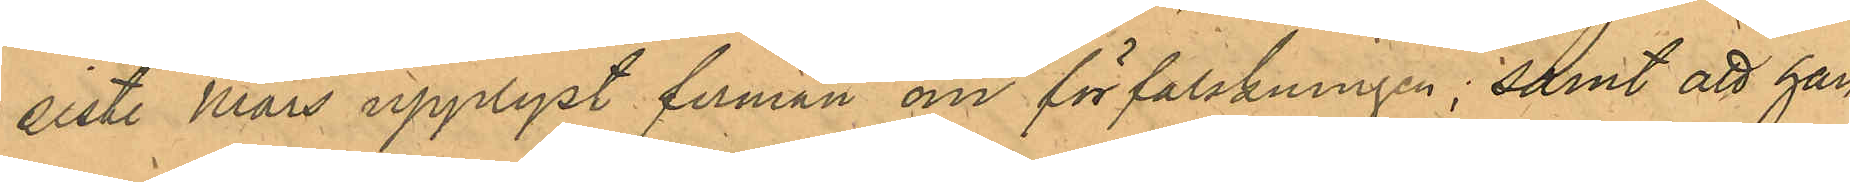sist. Mars upplyst firman om förfalskningen; samt att han
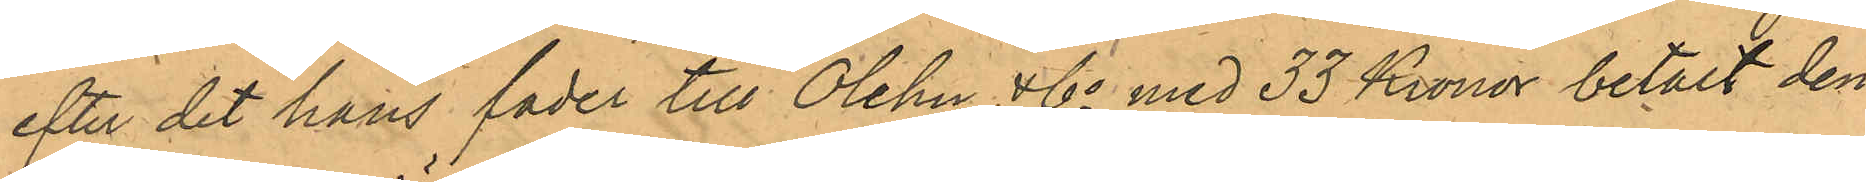efter det hans fader till Olehn & Co med 33 Kronor betalt den
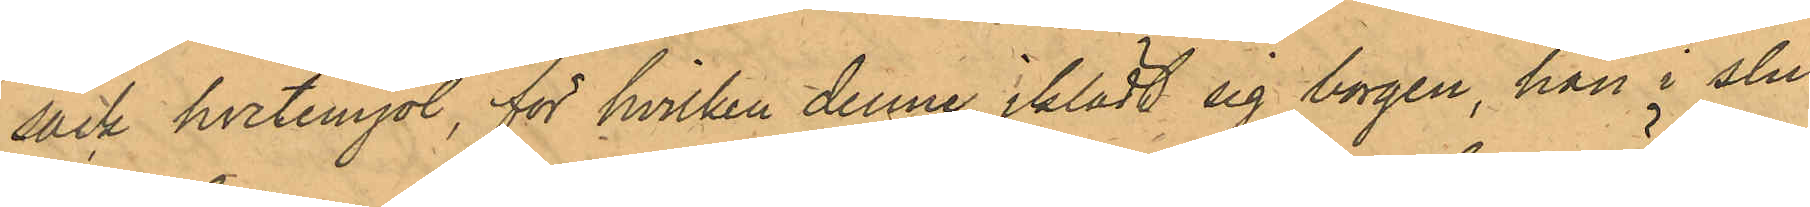säck hvetemjöl, för hvilken denne iklädt sig borgen, han i slu¬
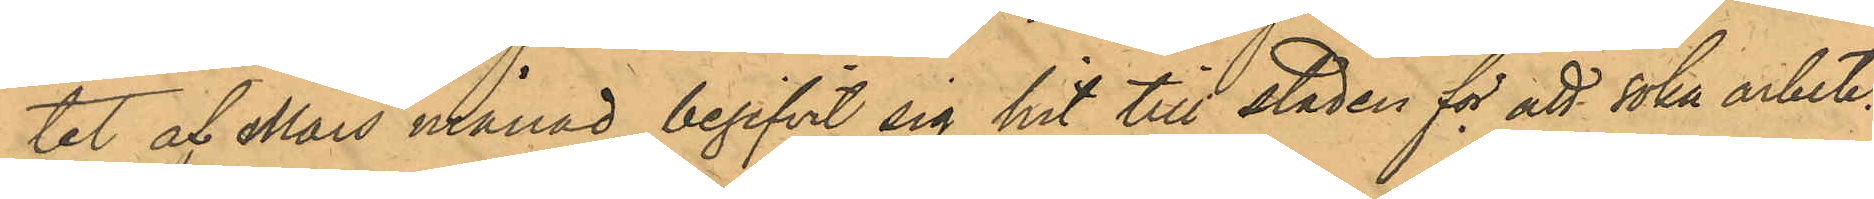tet af Mars månad begifvit sig hit till staden för att söka arbete.
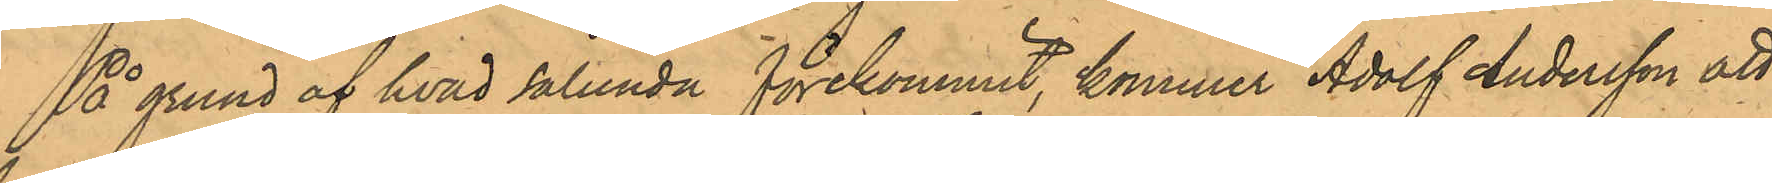På grund af hvad sålunda förekommit, kommer Adolf Andersson att
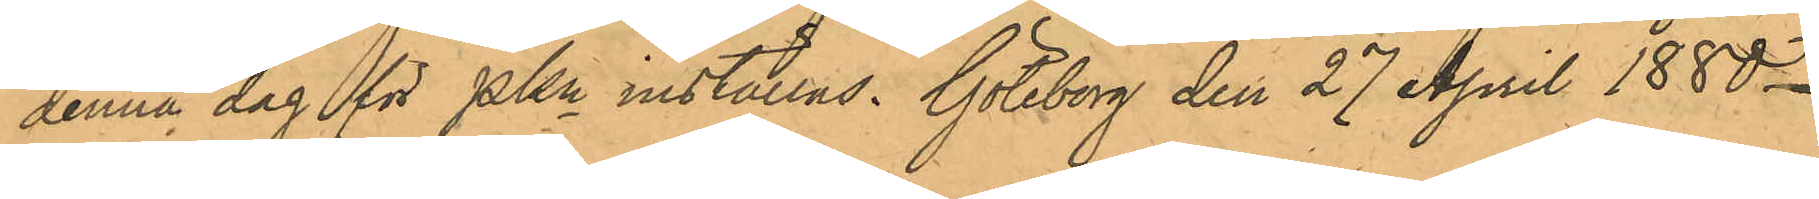denna dag för PKn inställas. Göteborg den 27 April 1880.
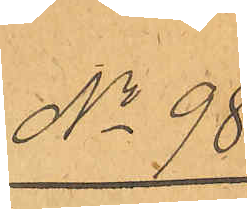No 98.
